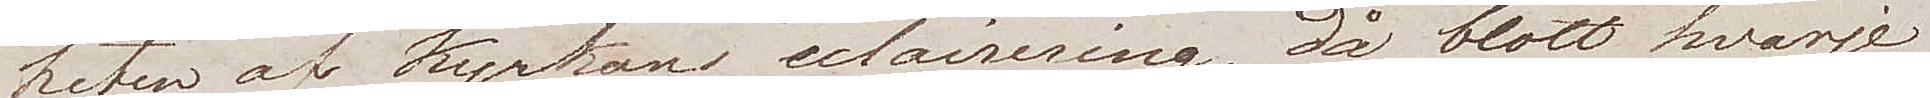heten af Kyrkans eclairering, då blott hvarje
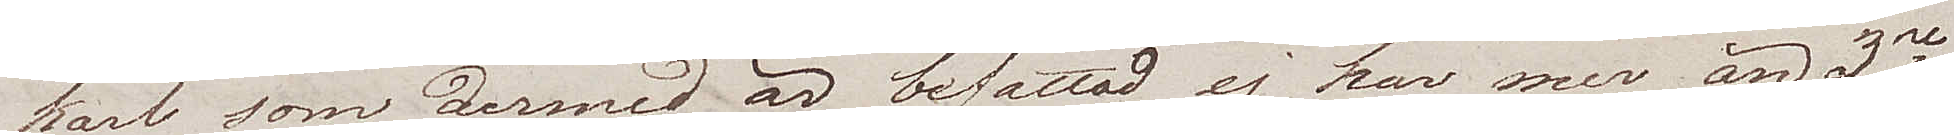karl som dermed är befattad, ej har mer än 3ne
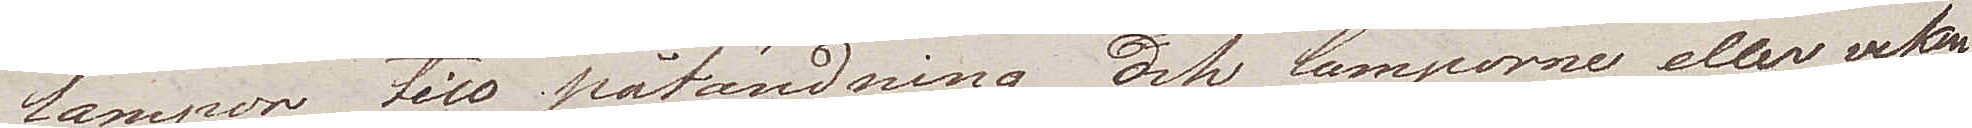lampor till påtändning, och lamporne eller veken
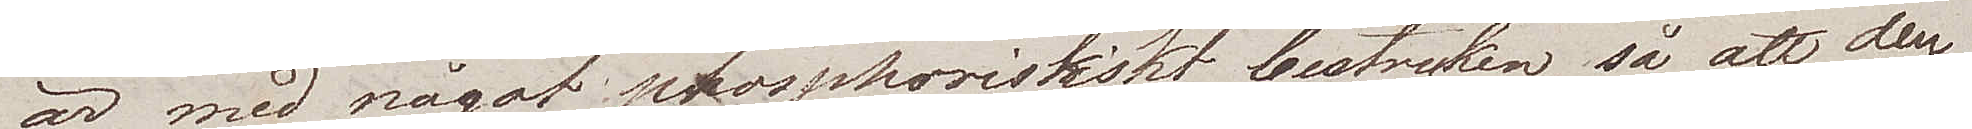är med något phosphoristiskt bestruken, så att den
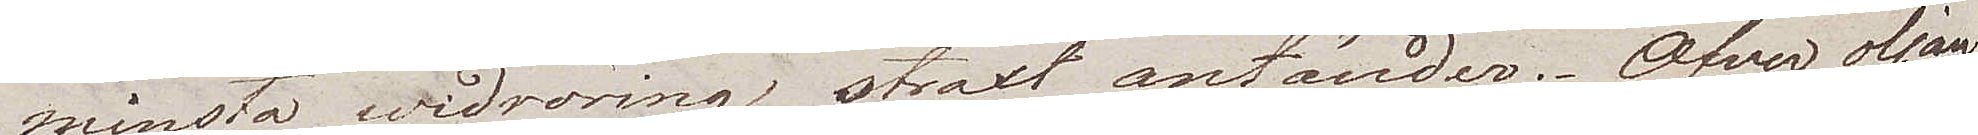minsta widröring straxt antänder. Öfver oljan
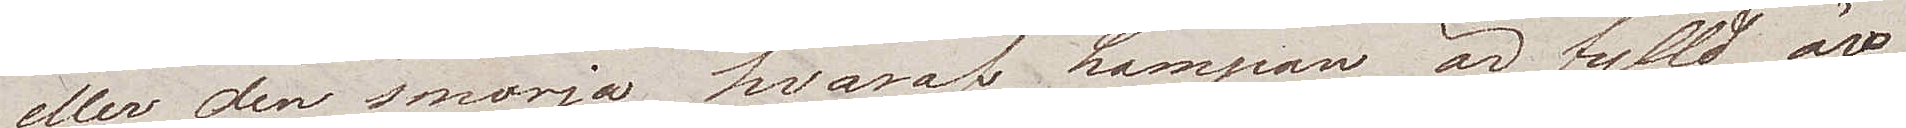eller den smörja hvaraf Lampan är fylld, äro
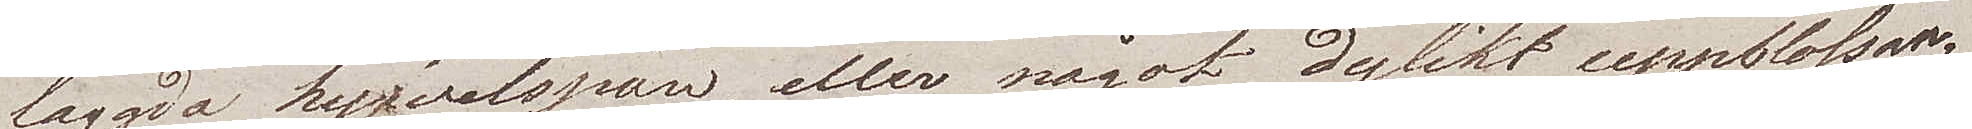laggda hyfvelspån, eller något dylikt uppblossan¬
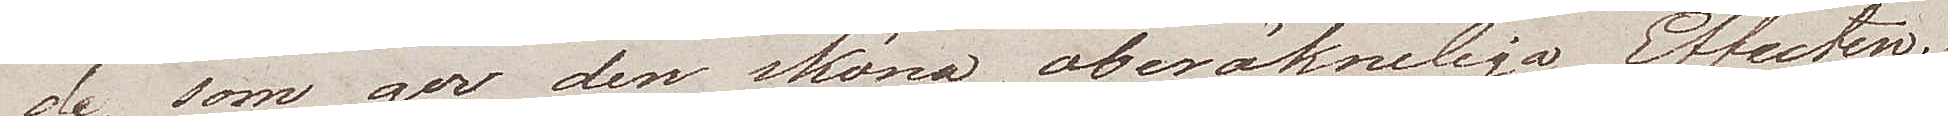de, som ger den sköna, oberäkneliga Effecten.
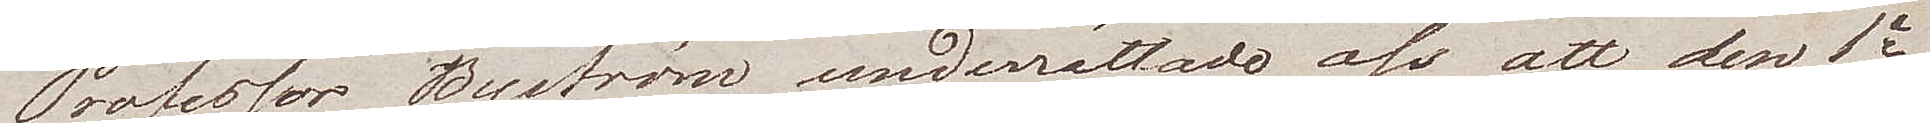Professor Byström underrättade oss, att den 1a
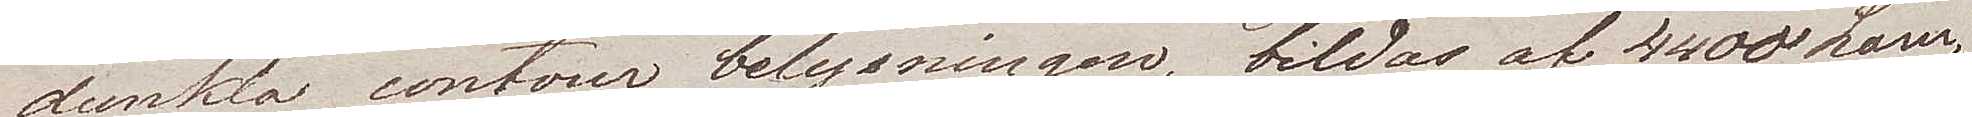dunkla contour belysningen, bildas af 4400 Lam¬
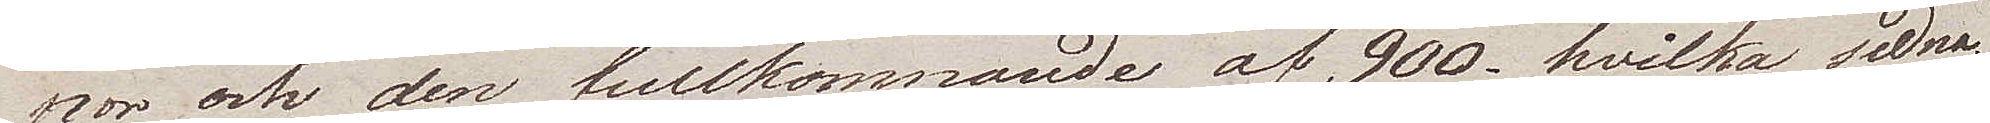por, och den fullkomnande af 900. hvilka sedna¬
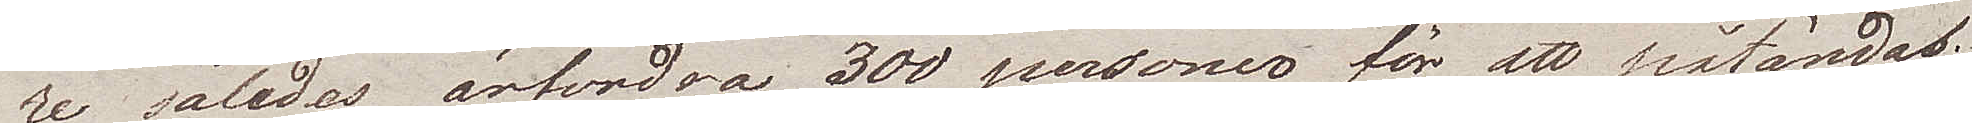re således ärfordra 300 personer för att påtändas.
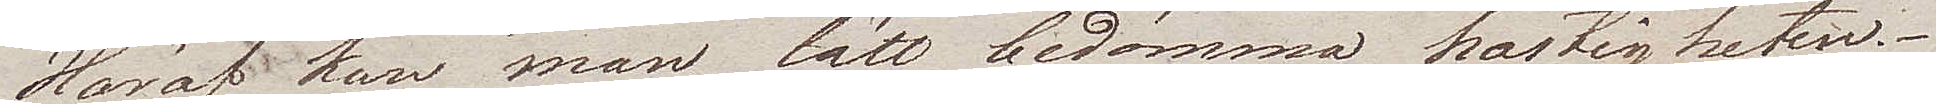Häraf kan man lätt bedömma hastigheten.
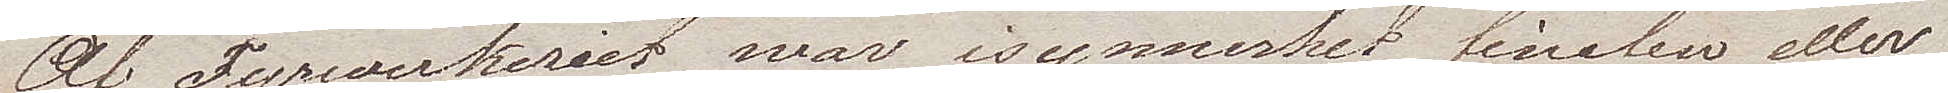Af Fyrwerkeriet war isynnerhet finalen eller
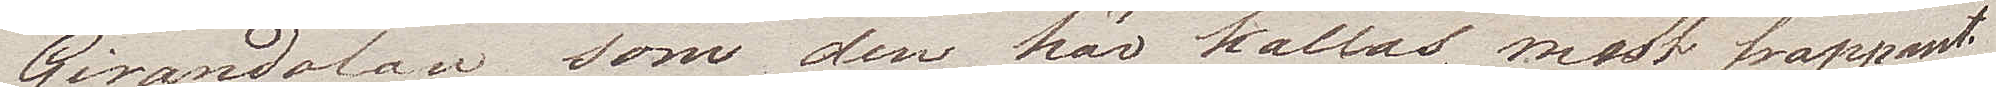Girandolan som den här kallas, mest frappant.
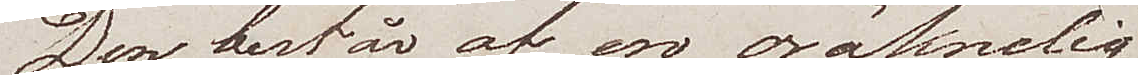Den består af en oräknelig
